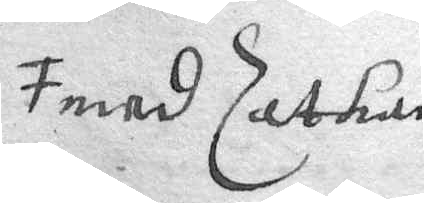med Sathan
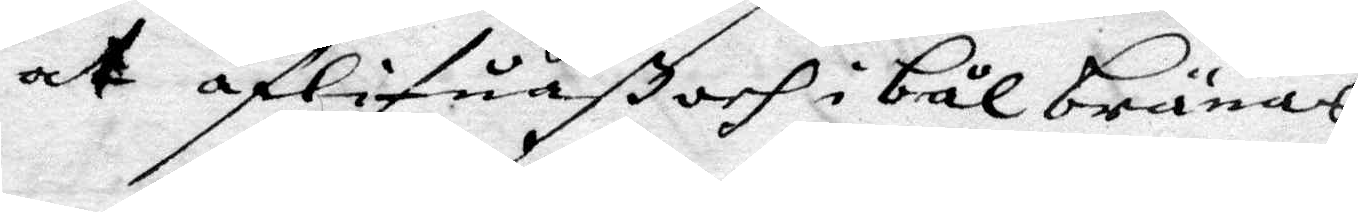at aflifuaß och i bål brännas.
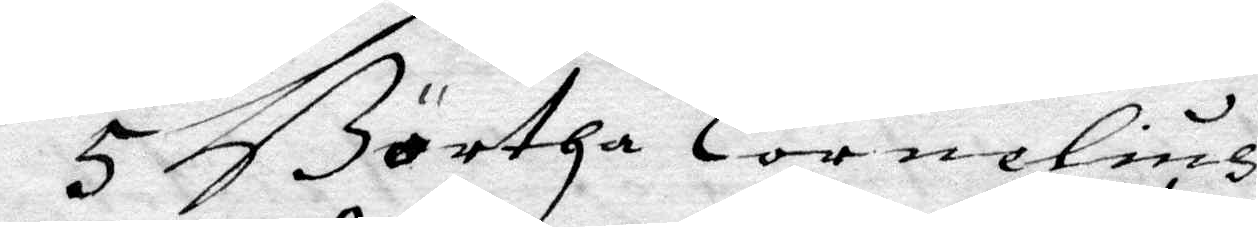5 Börtha Cornelius
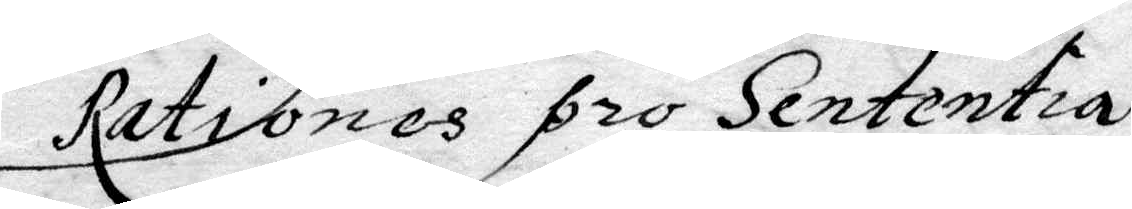Rationes pro Sententia.
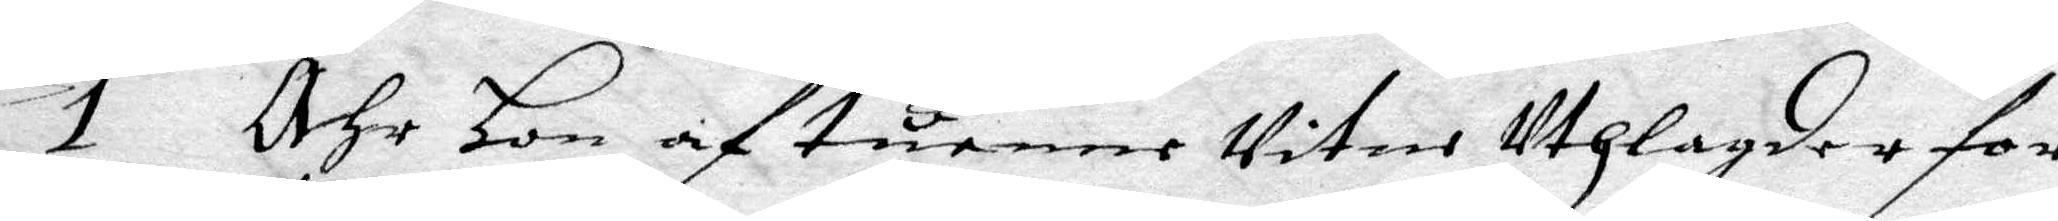1 Ähr Hon af tuenne Vitne Uthlagder for
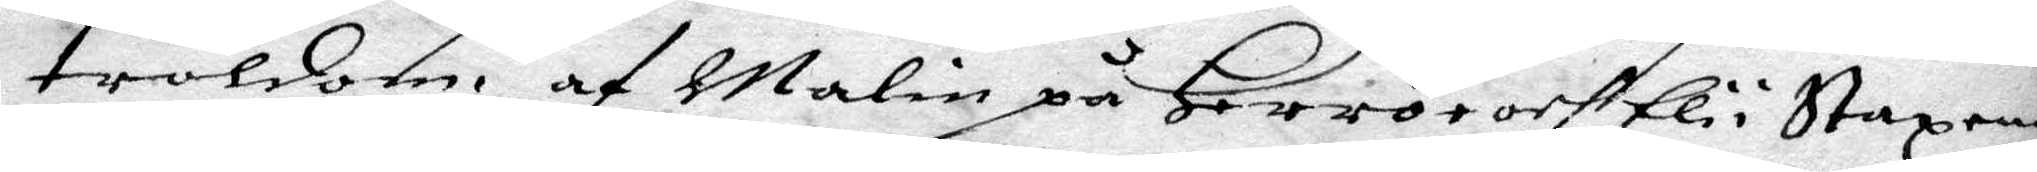troldom af malin på Herrö och Elin i Stazeng
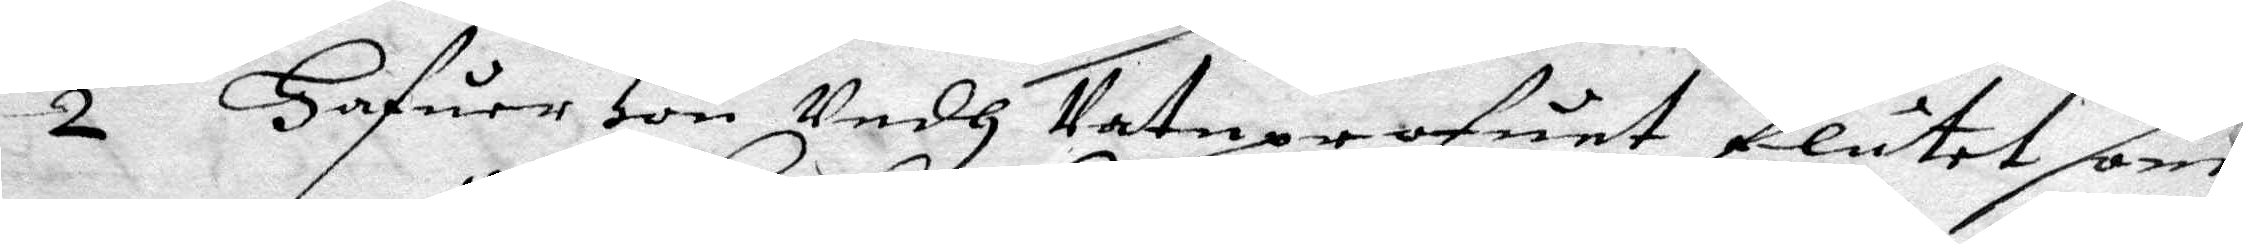2 Hafuer Hon Vedh Vatuprofuet flutet som
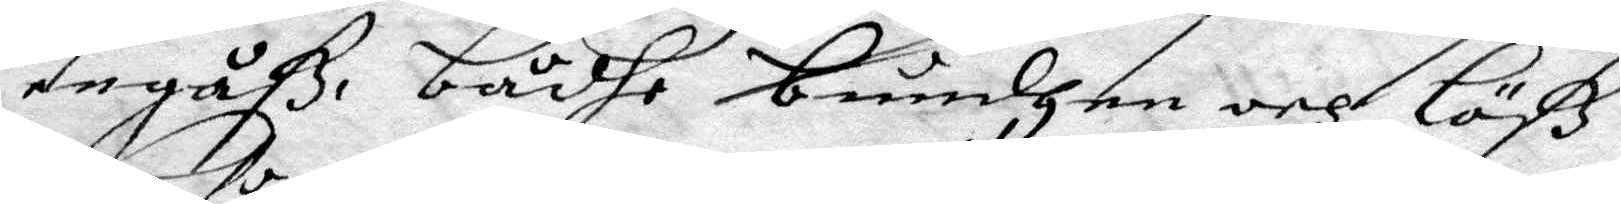en gåß, bådhe bundhen och Löß
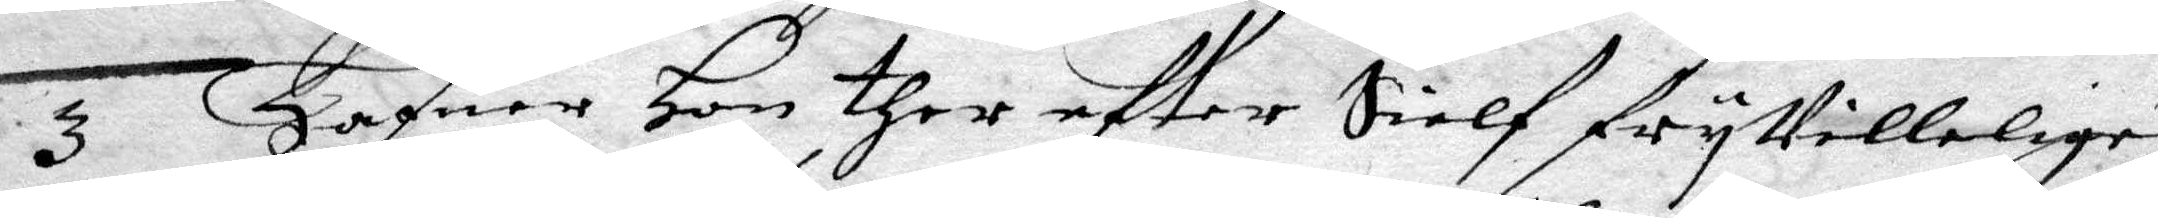3 Huafer Hon ther efter Sielf fryVilligen
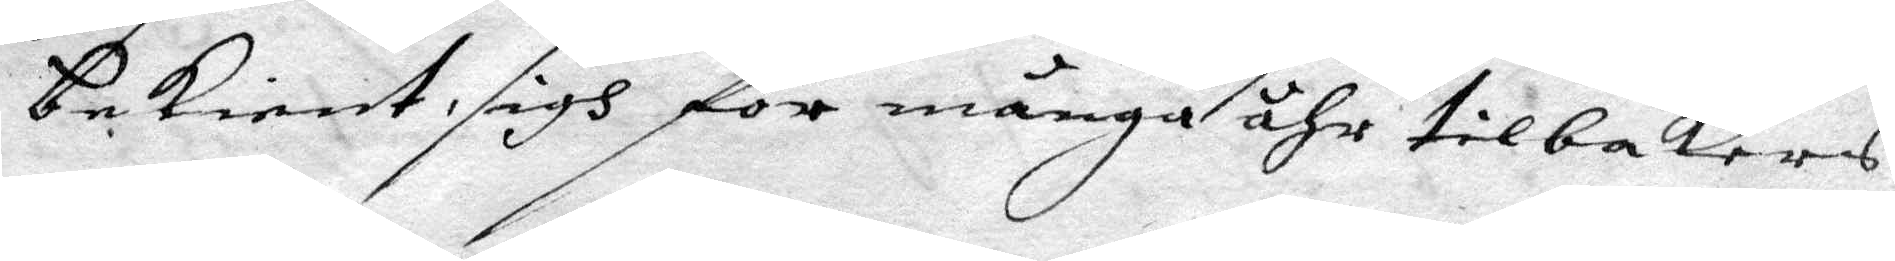bekient sigh för många åhr tilbakars
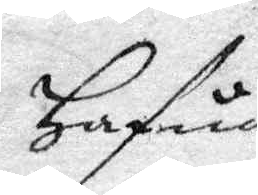Hafua
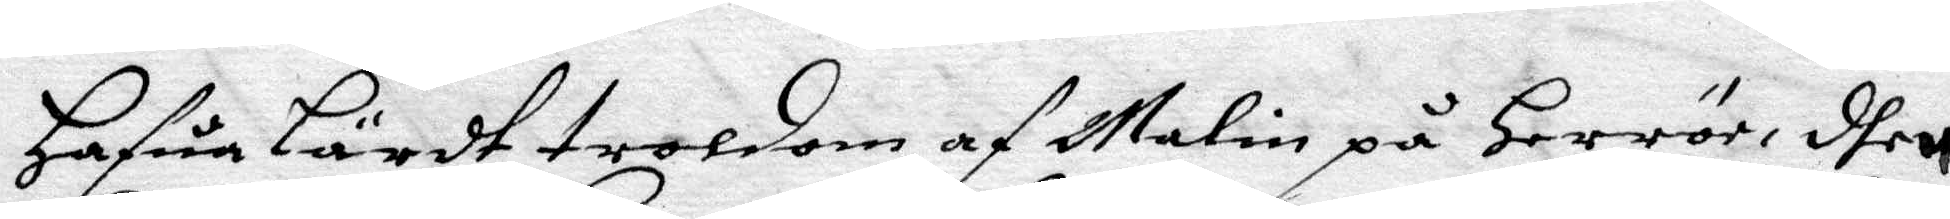hafua Lärdt troldom af Malin på Herrör, dhen
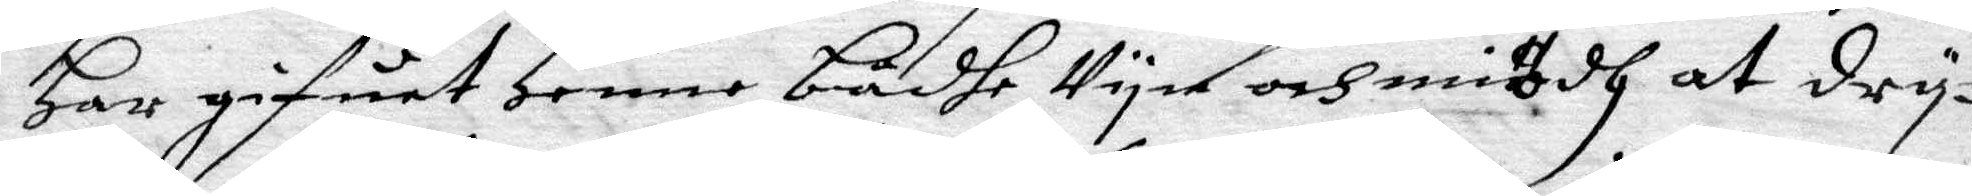Har gifuet Henne bådhe Vyn och miödh at dry¬
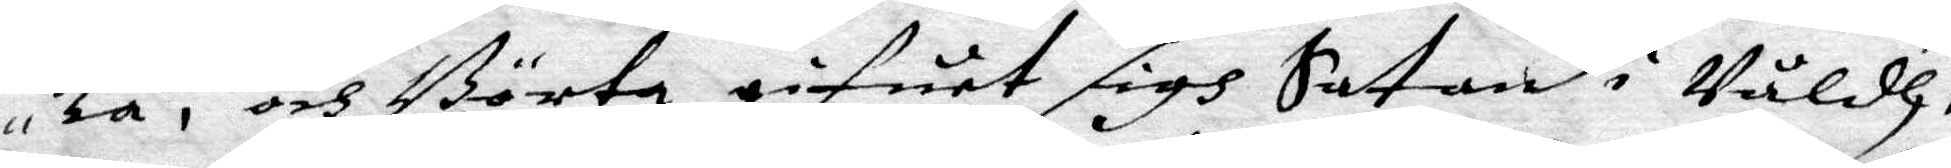ka, och Börta gifuet sigh Satan i Våldh,
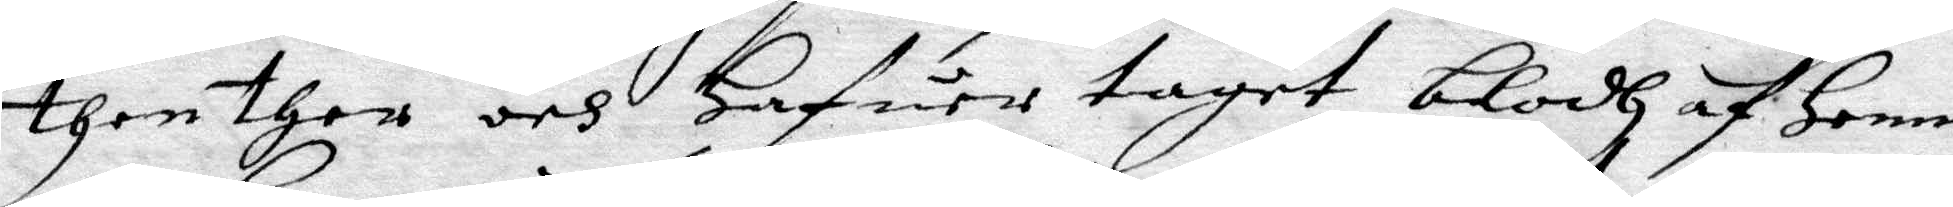then ther och hafuer taget blodh af Henne
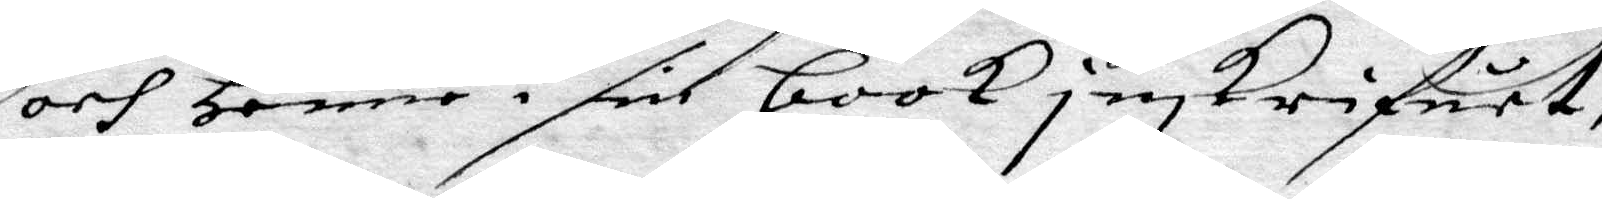och Henne i sin book inskrifuet,
